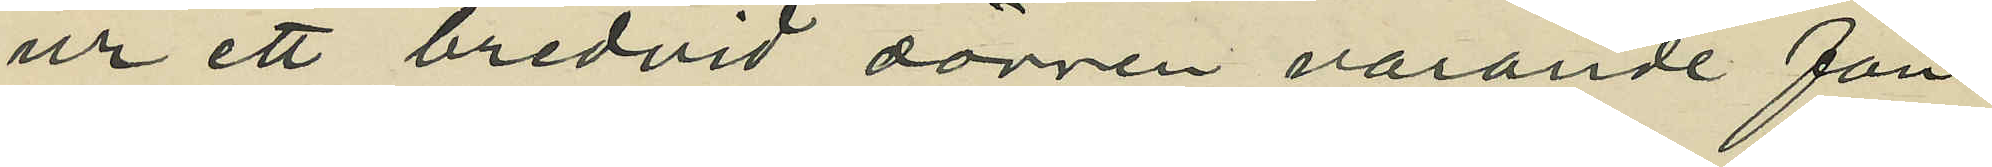ur ett bredvid dörren varande fön¬
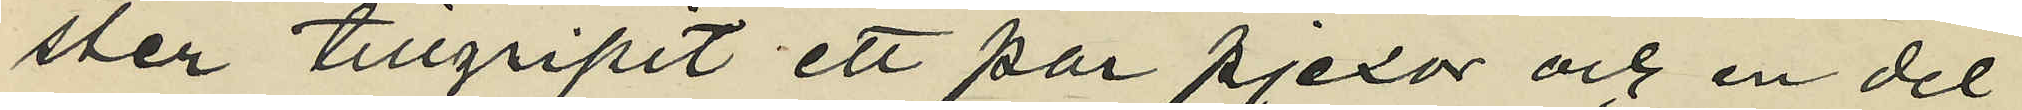ster tillgripit ett par pjexor och en del
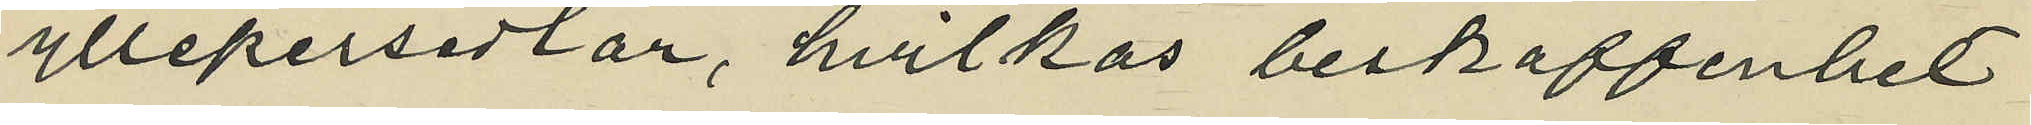yllepersedlar, hvilkas beskaffenhet
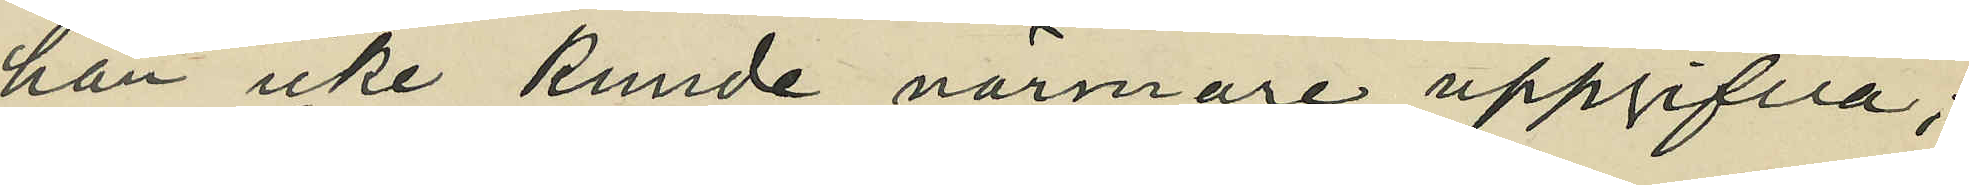han icke kunde närmare uppgifva;
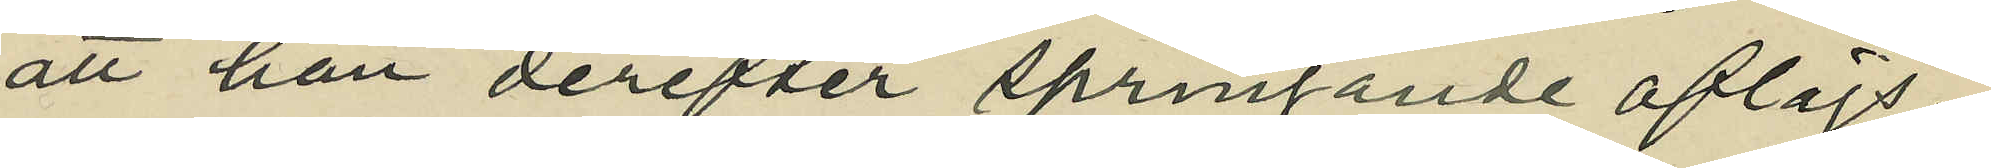att han derefter springande aflägs¬
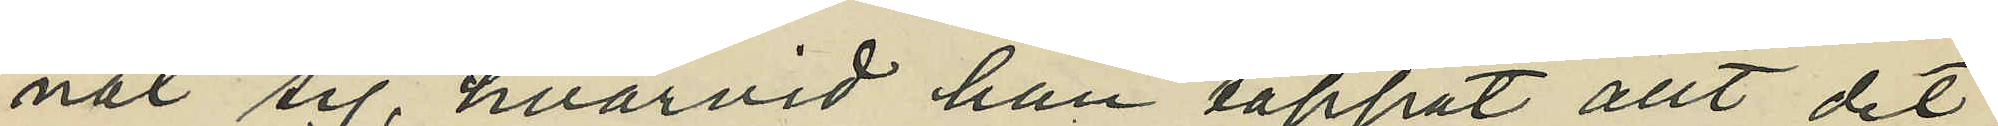nat sig, hvarvid han tappat allt det
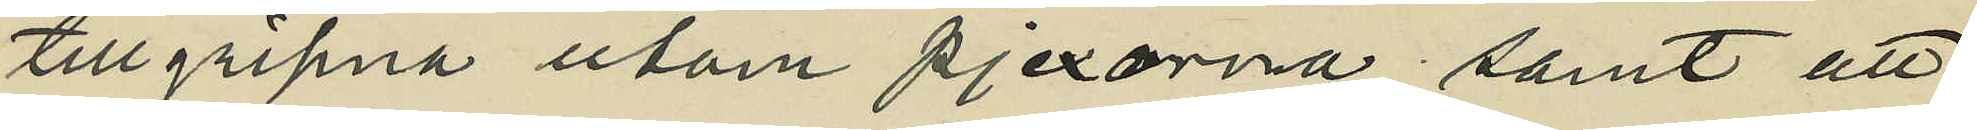tillgripna utom pjexorna; samt att
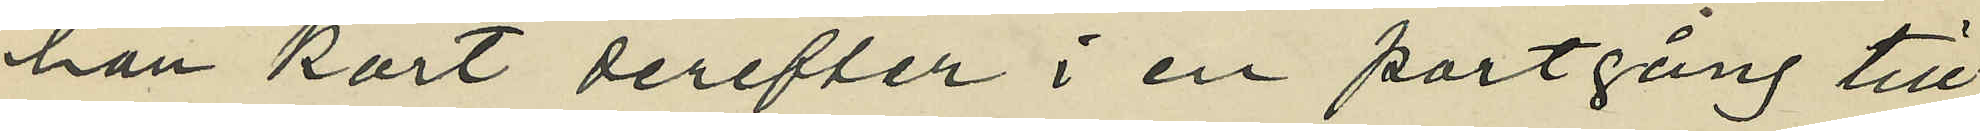han kort derefter i en portgång till
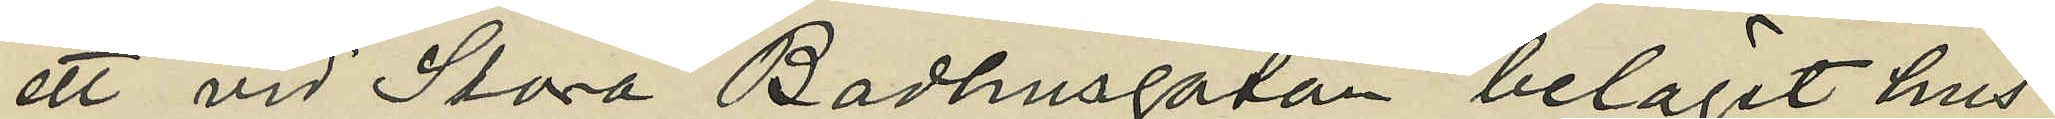ett vid Stora Badhusgatan beläget hus
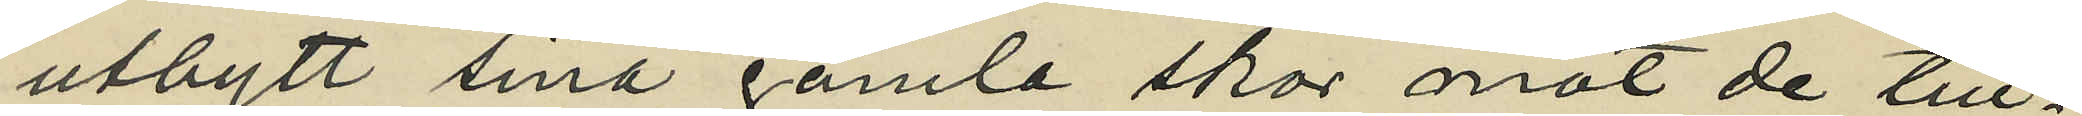utbytt sina gamla skor mot de till¬
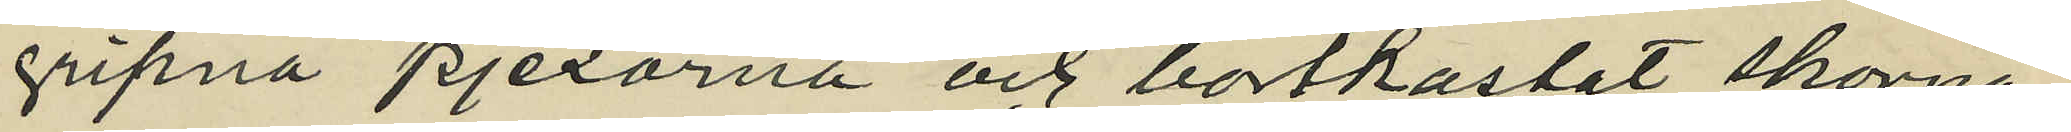gripna pjexorna och bortkastat skorna,
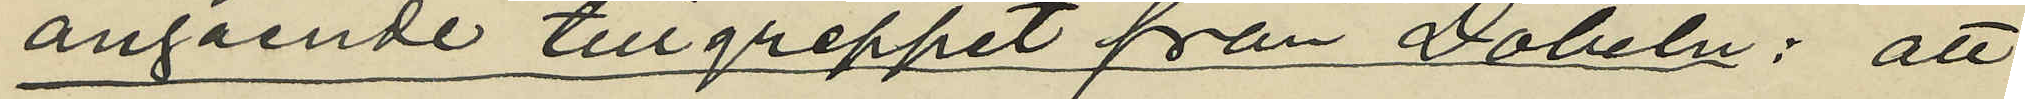angående tillgreppet från Döbeln: att
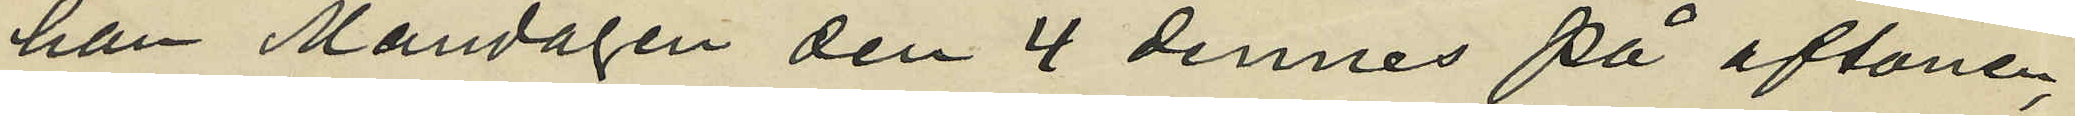han Måndagen den 4 dennes på aftonen,
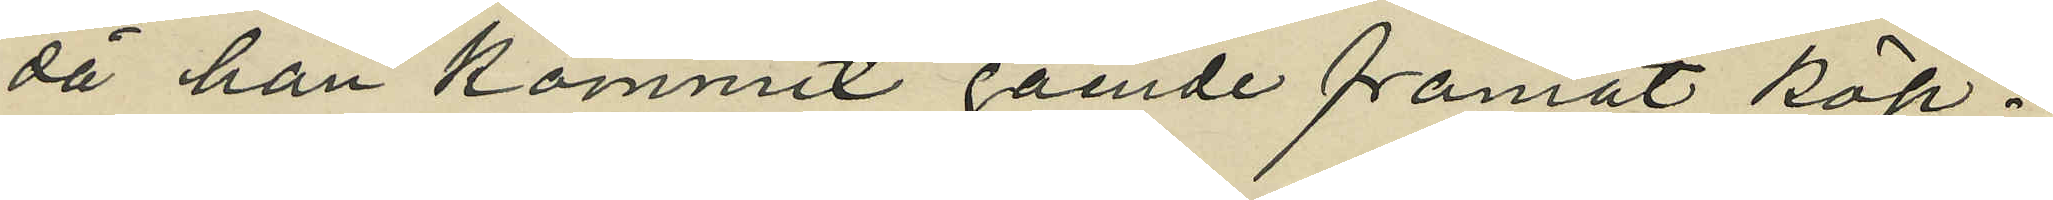då han kommit gående framåt Köp¬
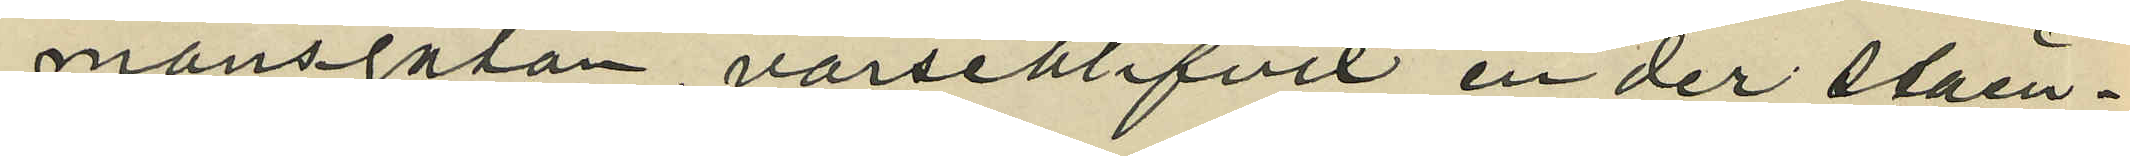mansgatan, varseblifvit en der ståen¬
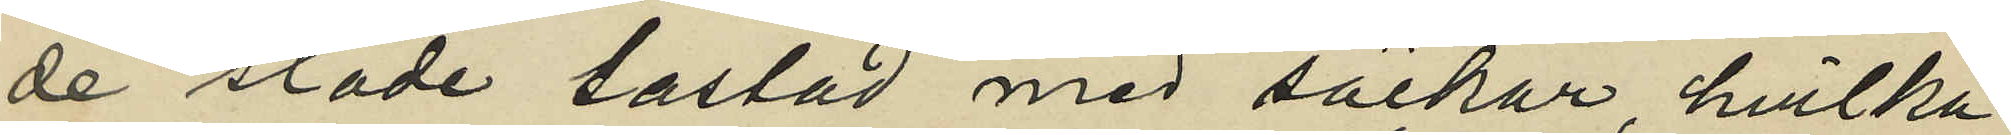de släde lastad med säckar, hvilka
